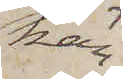kän¬
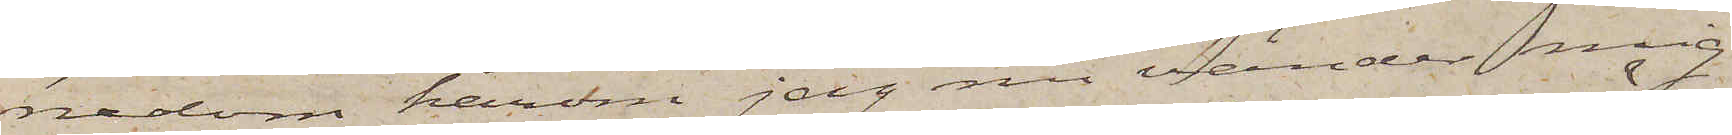nedom härom jag nu vänder mig
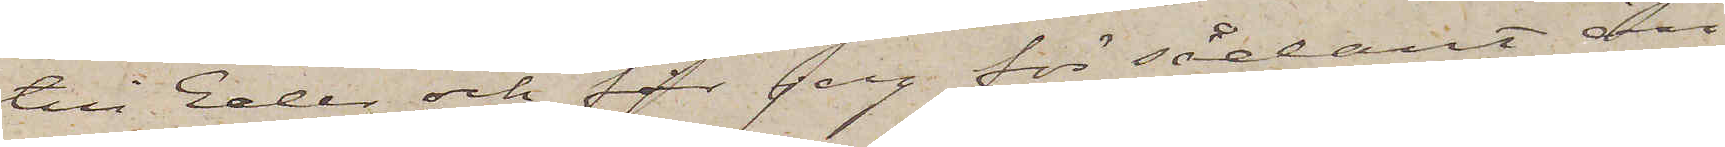till Eder och får jag för sådant än¬
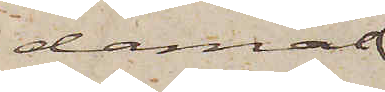damål
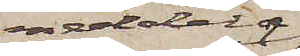meddela
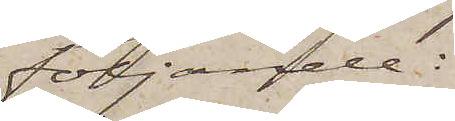följande:
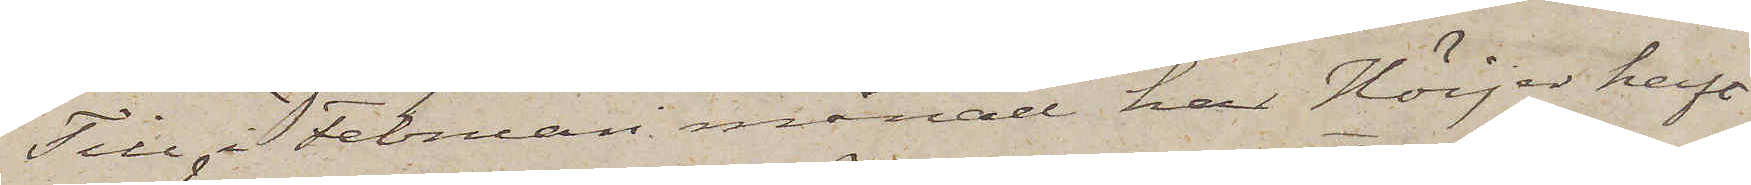Till i Februari månad har Höijer haft
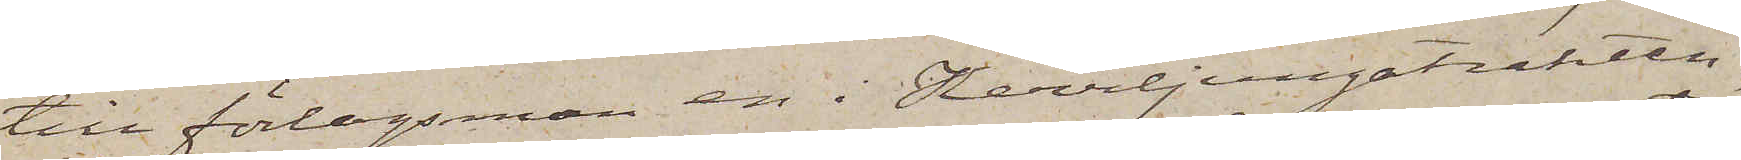till förlagsman en i Herrljungatrakten
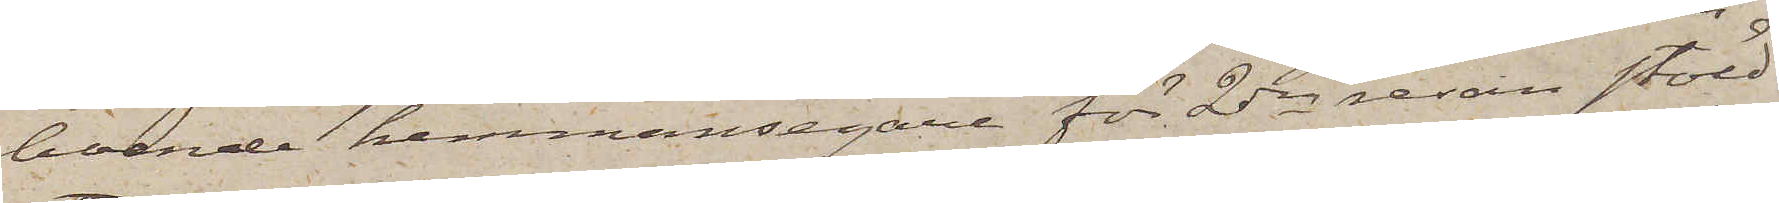boende hemmansegare för 2dra resan stöld
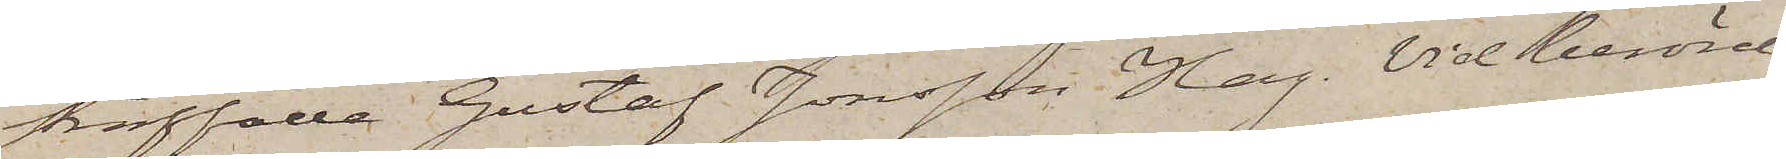straffade Gustaf Jonsson Hag. Vid berörde
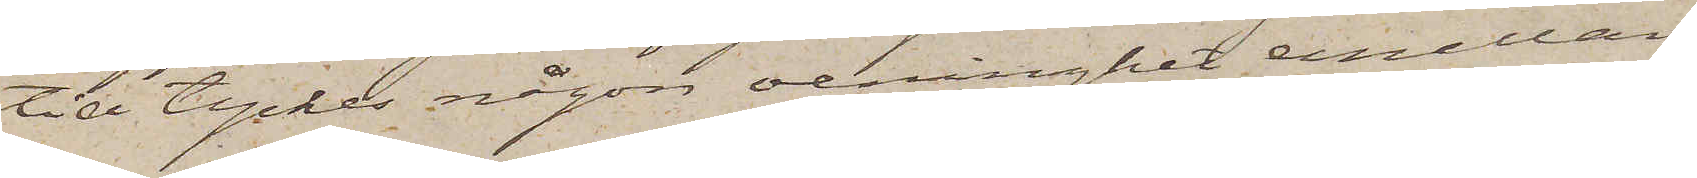tid tyckes någon oenighet emellan
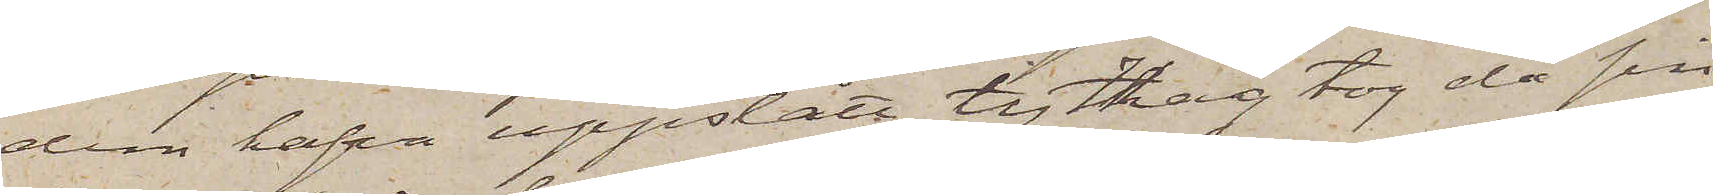dem hafva uppstått, ty Hag tog då sin
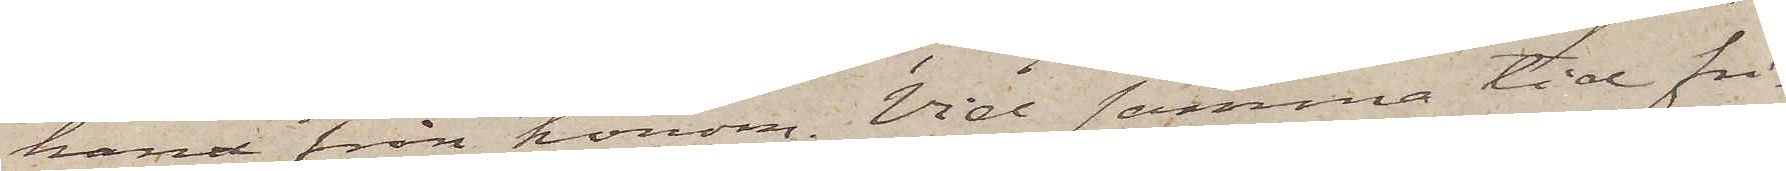hand från honom. Vid samma tid fri¬
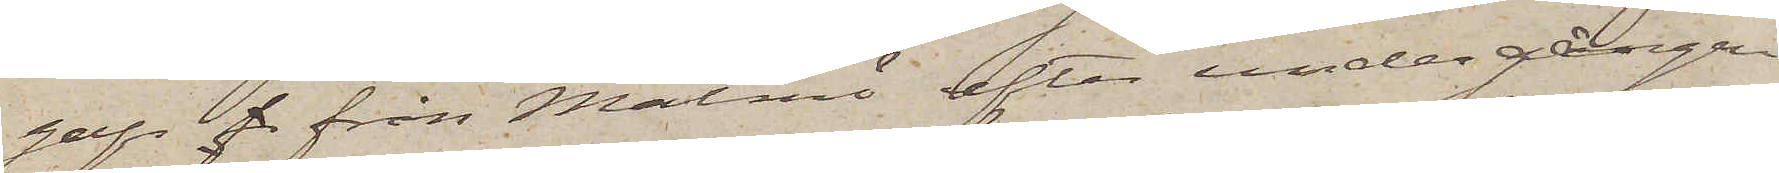gafs f från Malmö efter undergången
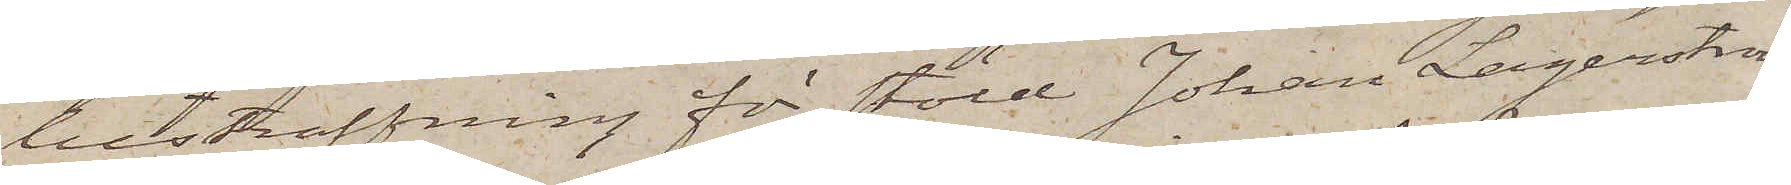bestraffning för stöld Johan Lagerström
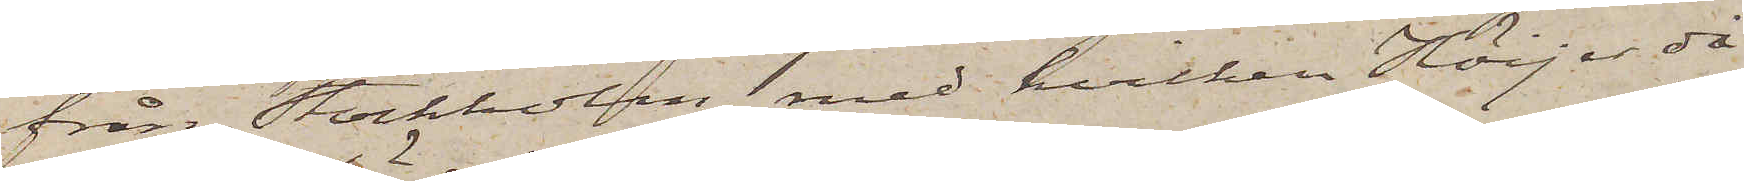från Stockholm, med hvilken Höijer då
